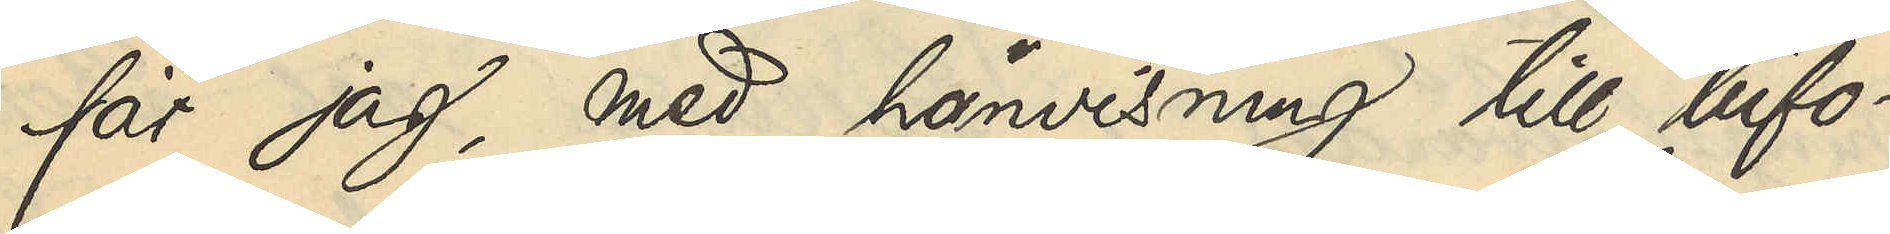får jag, med hänvisning till bifo¬
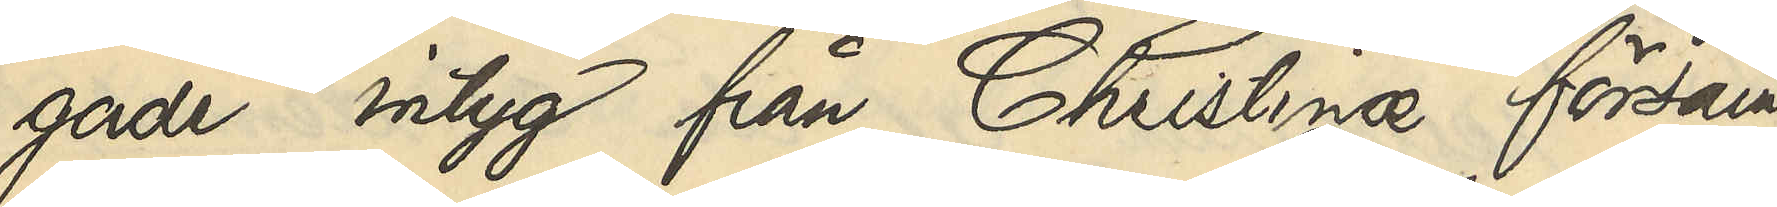gade intyg från Christinæ försam¬
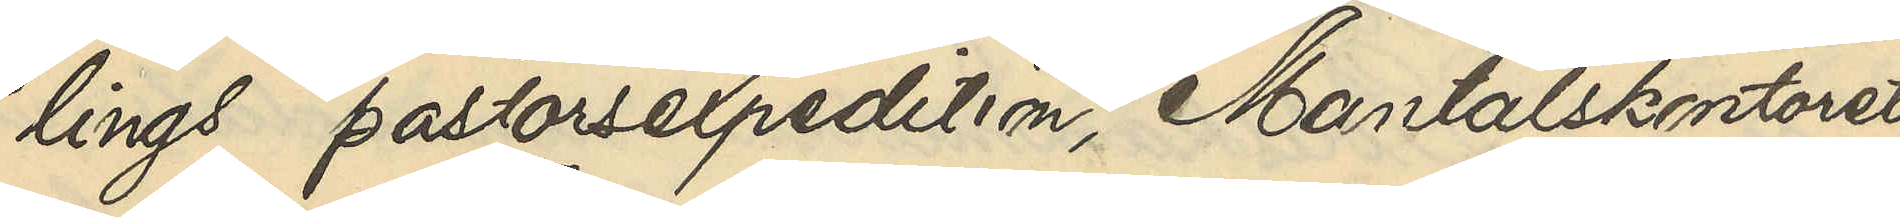lings pastorsexpedition, Mantalskontoret
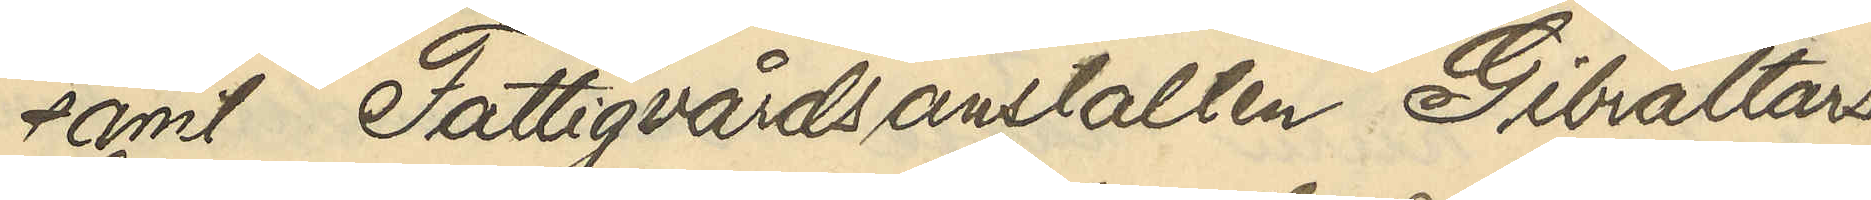samt Fattigvårdsanstalten Gibraltars
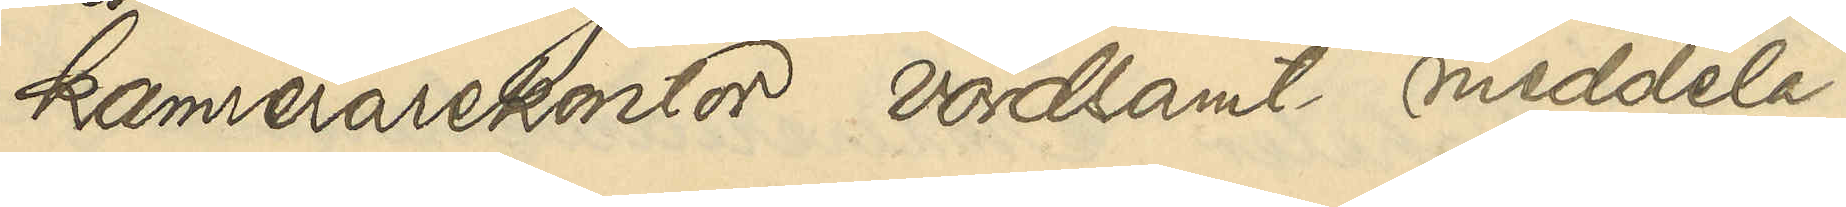kamrerarekontor vördsamt meddela,
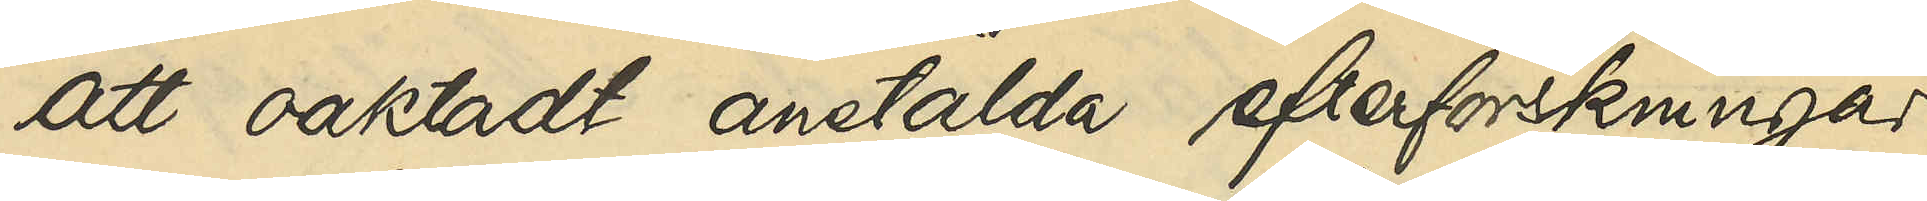att oaktadt anstälda efterforskningar
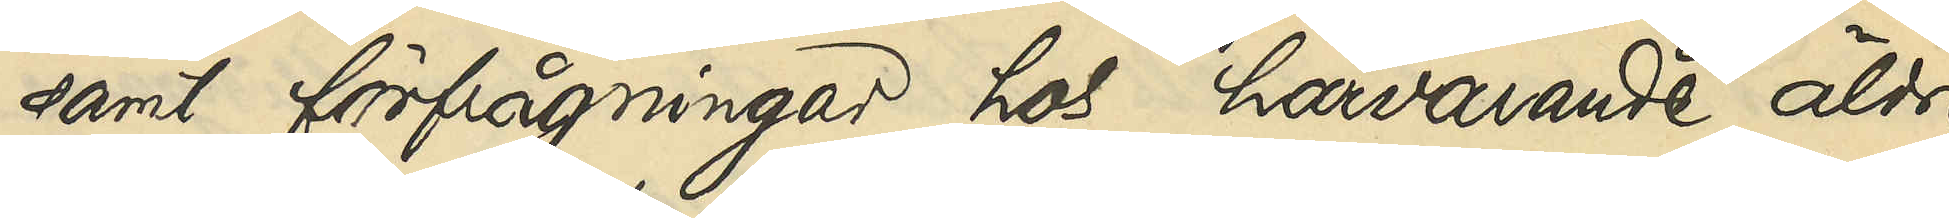samt förfrågningar hos härvarande äldre
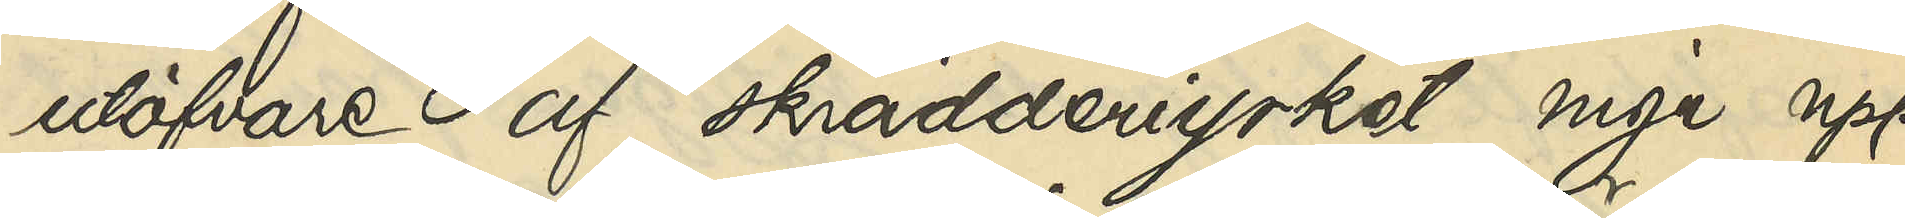utöfvare af skrädderiyrket inga upp¬
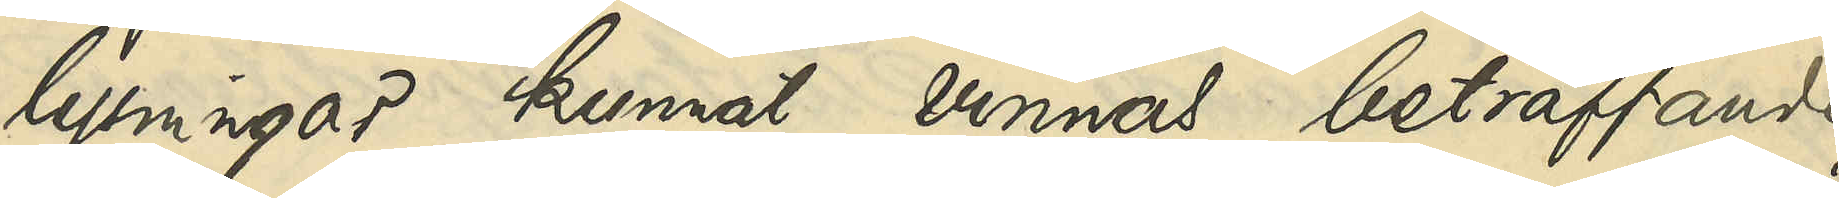lysningar kunnat vinnas beträffande
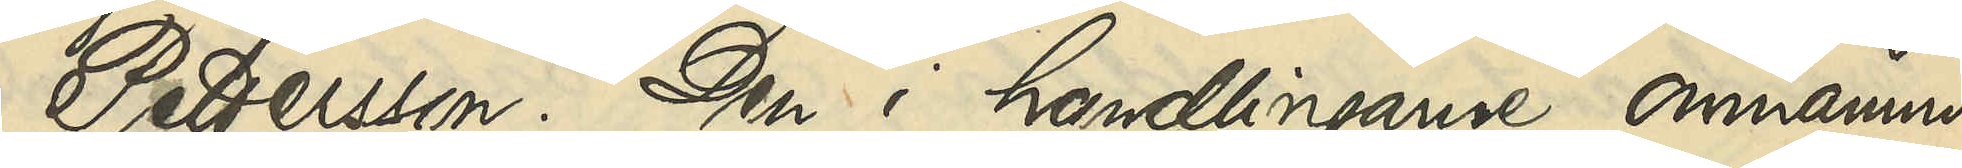Petterson. Den i handlingarne omnämnde
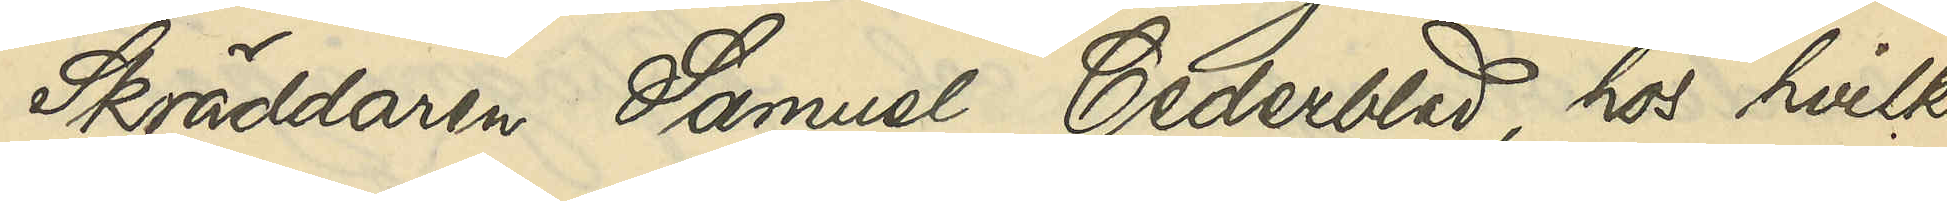Skräddaren Samuel Cederblad, hos hvilken
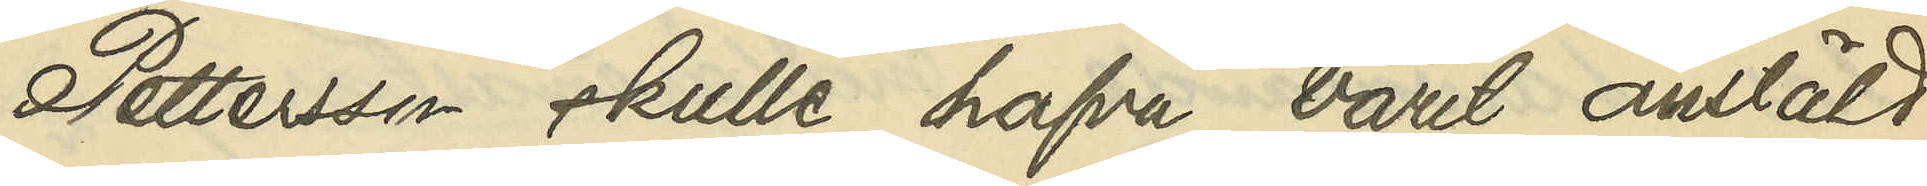Pettersson skulle hafva varit anstäld,
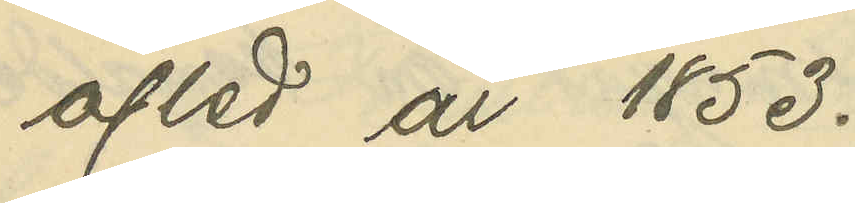afled år 1853.
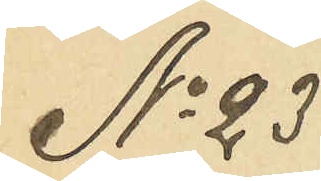No 23
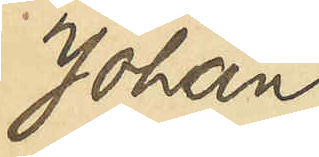Johan
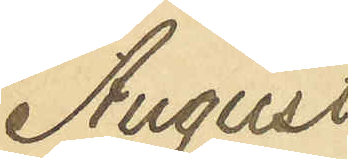August
